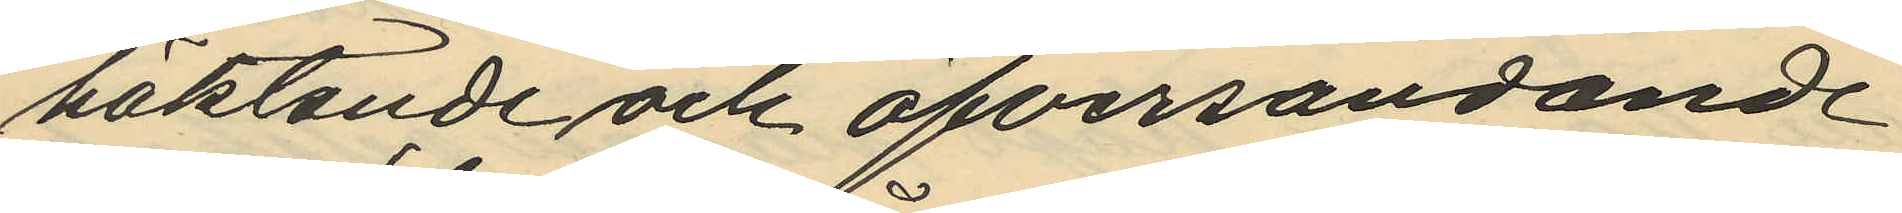häktande och öfversändande
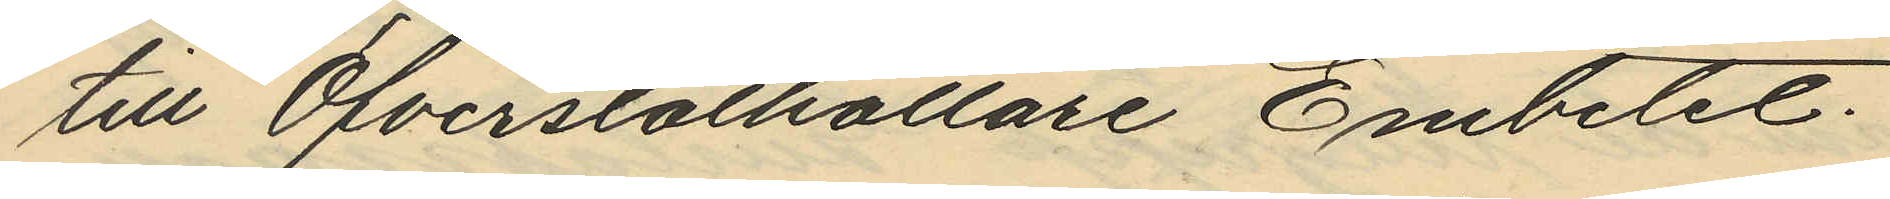till Öfverståthållare Embetet.
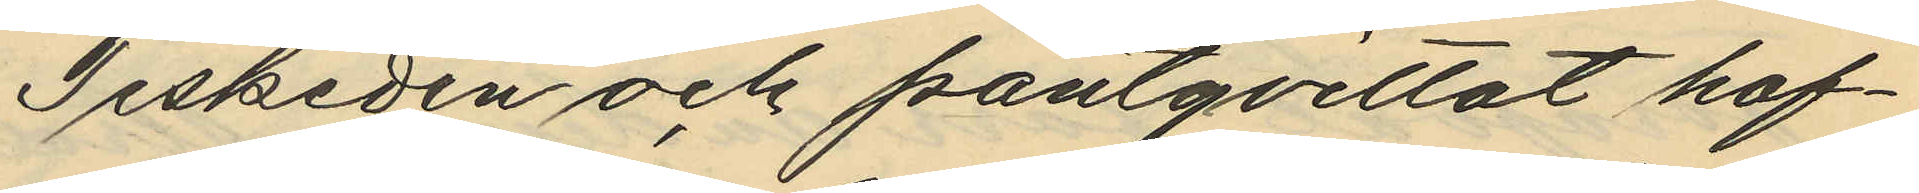Teskeden och pantqvittot haf¬
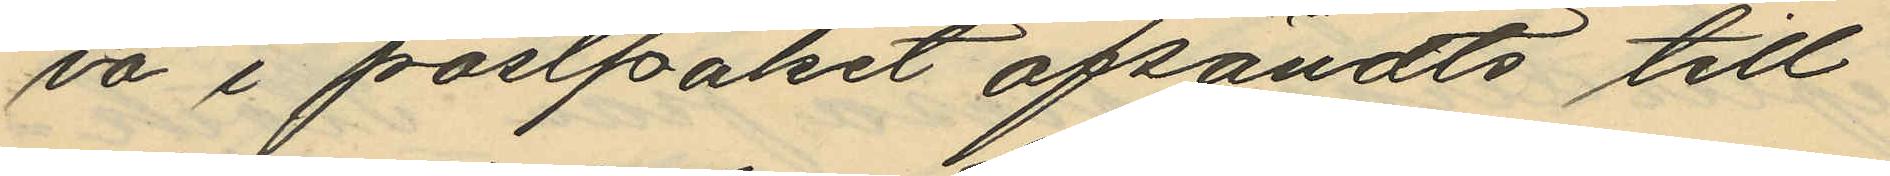va i postpakset afsändts till
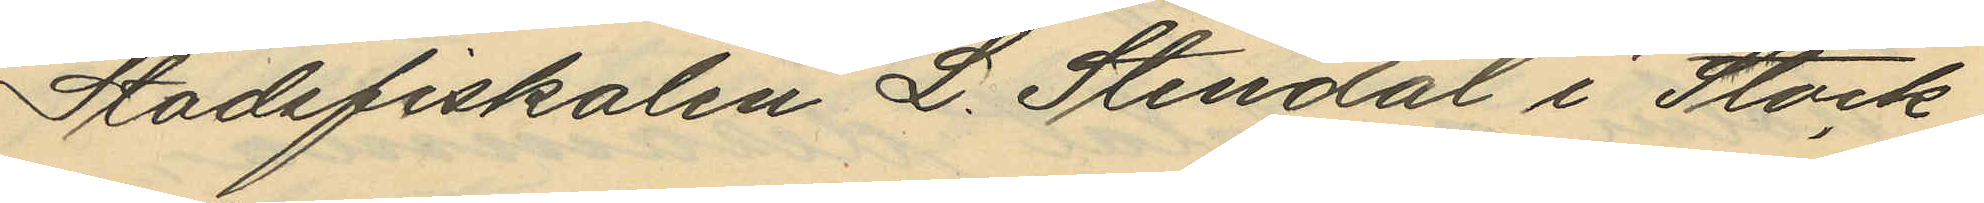Stadsfiskalen L. Stendal i Stock¬
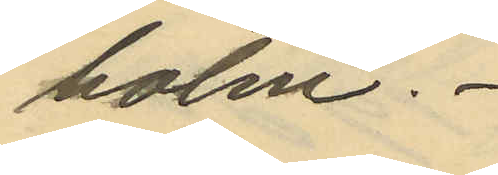holm.
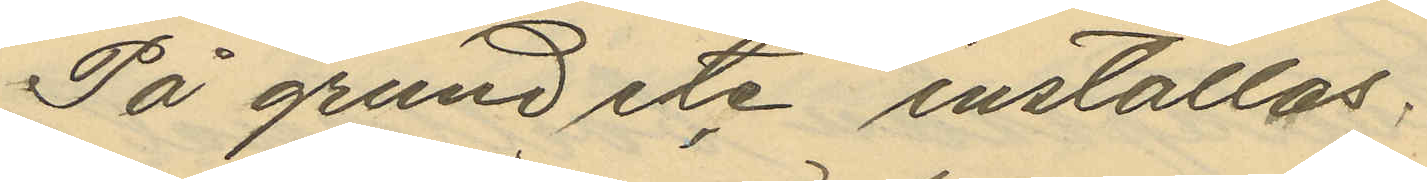På grund etc inställas.
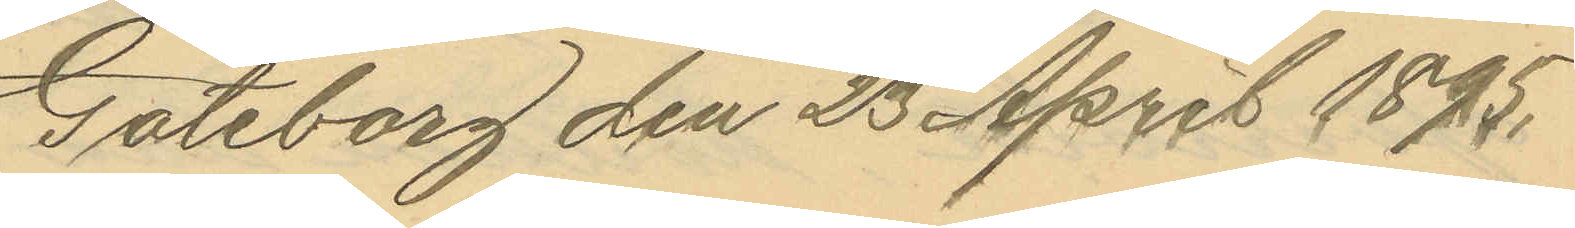Göteborg den 23 April 1895.
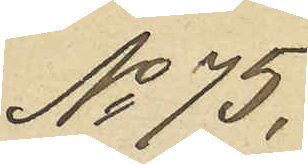No 75.
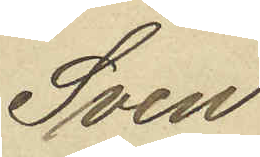Sven
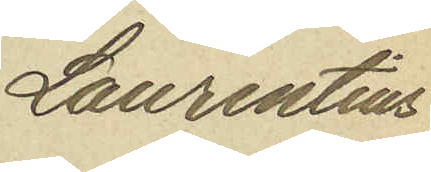Laurentius
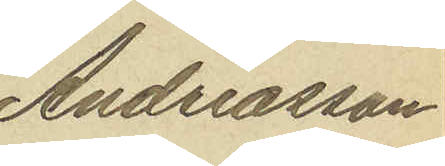Andreasson
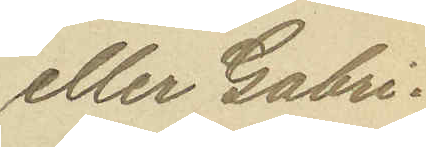eller Gabri¬
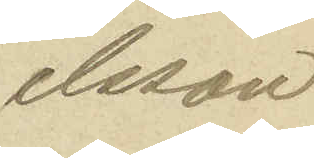elsson
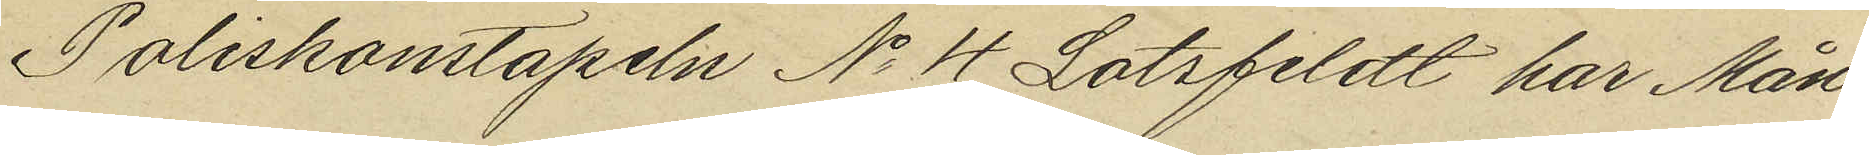Poliskonstapeln No 4 Lotsfeldt har Mån¬
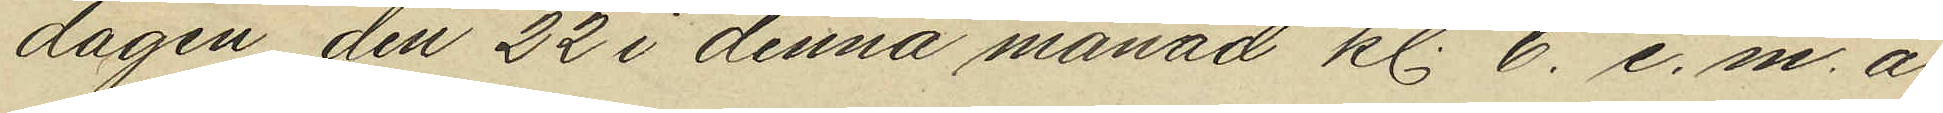dagen den 22 i denna månad kl. 6. e. m. å
